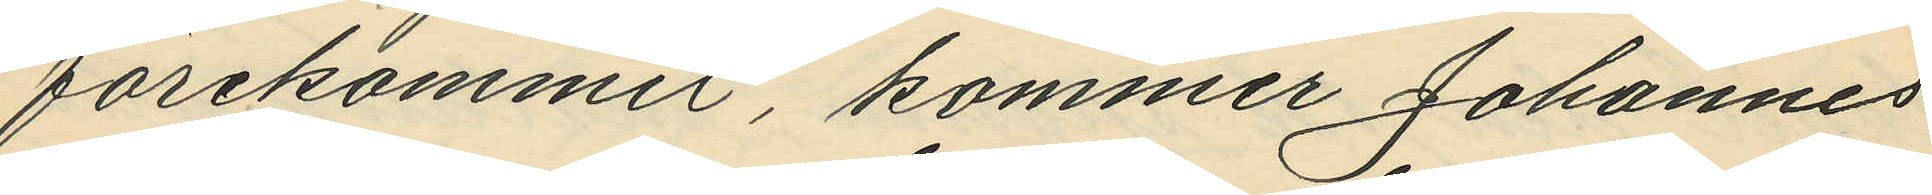förekommit, kommer Johannes
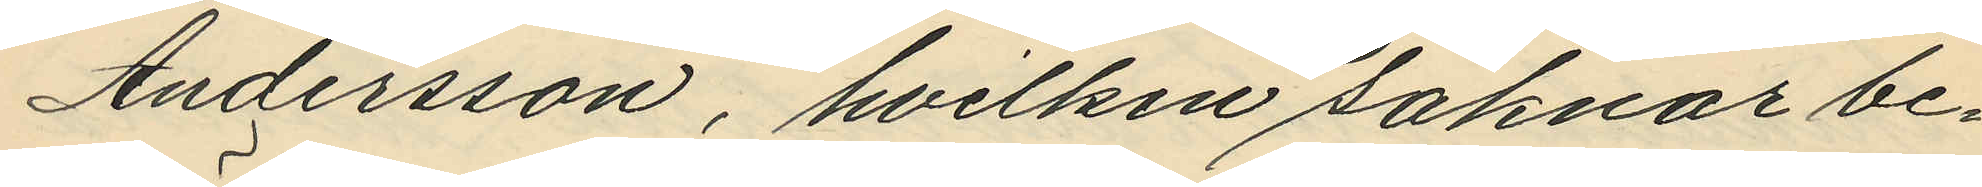Andersson, hvilken saknar be¬
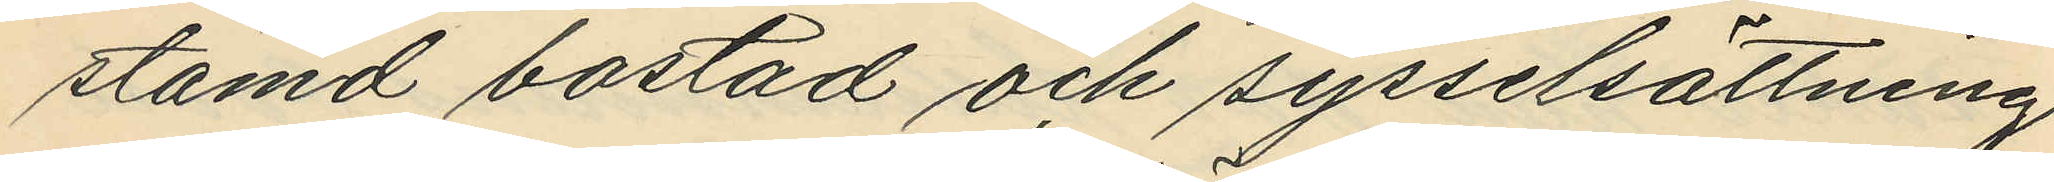stämd bostad och sysselsättning
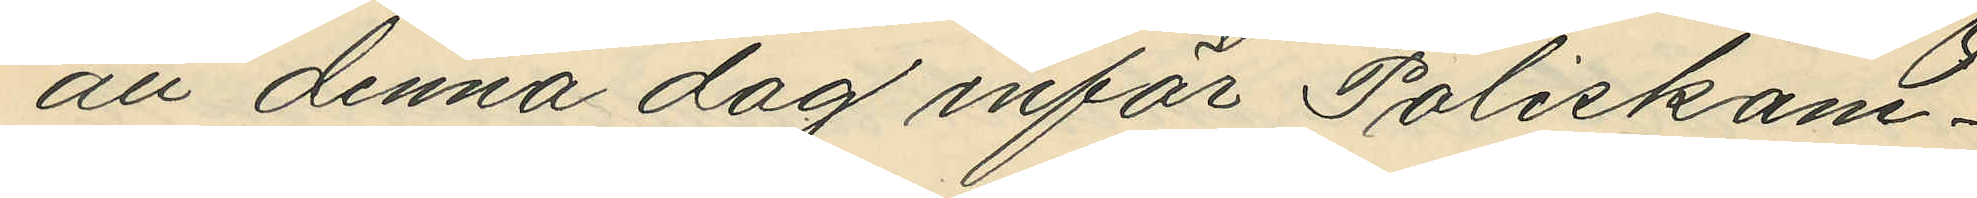att denna dag inför Poliskam¬
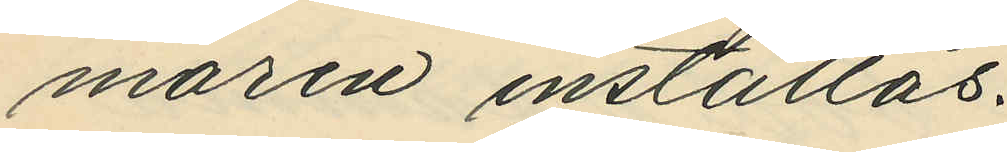maren inställas.
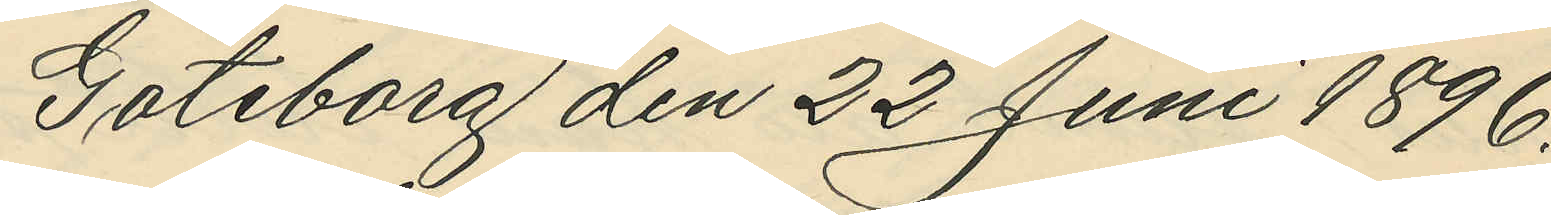Göteborg den 22 Juni 1896.
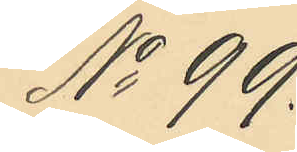No 99.
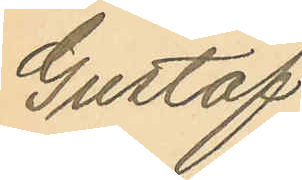Gustaf
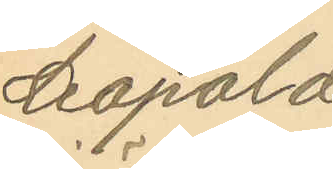Leopold
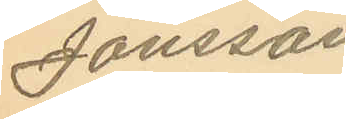Jönsson
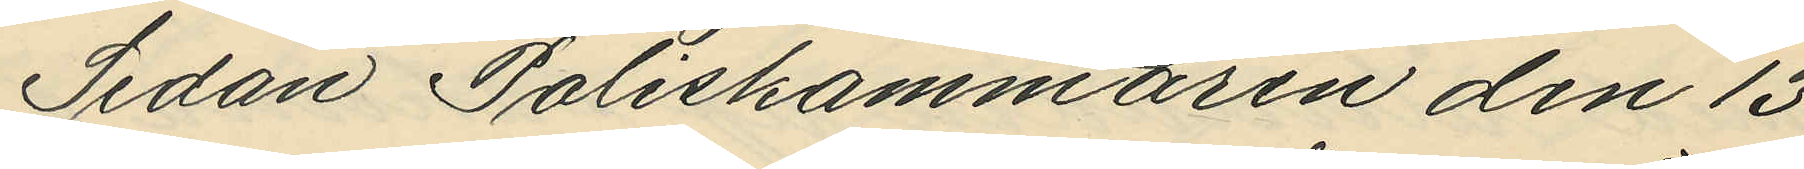Sedan Poliskammaren den 13
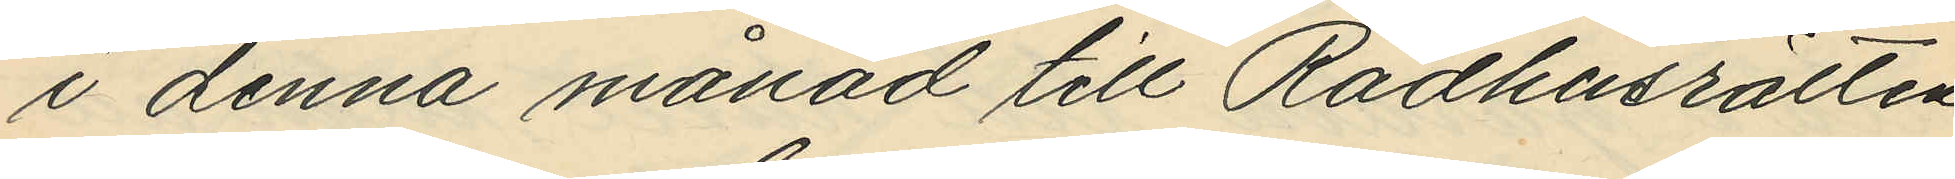i denna månad till Rådhusrätten
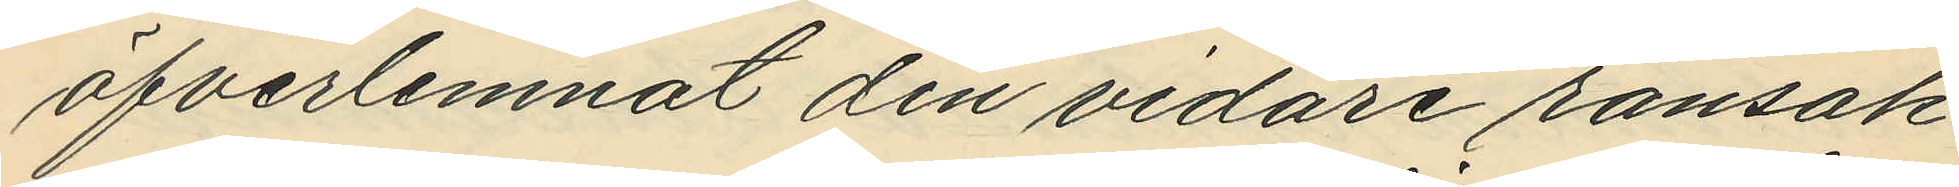öfverlemnat den vidare ransak¬
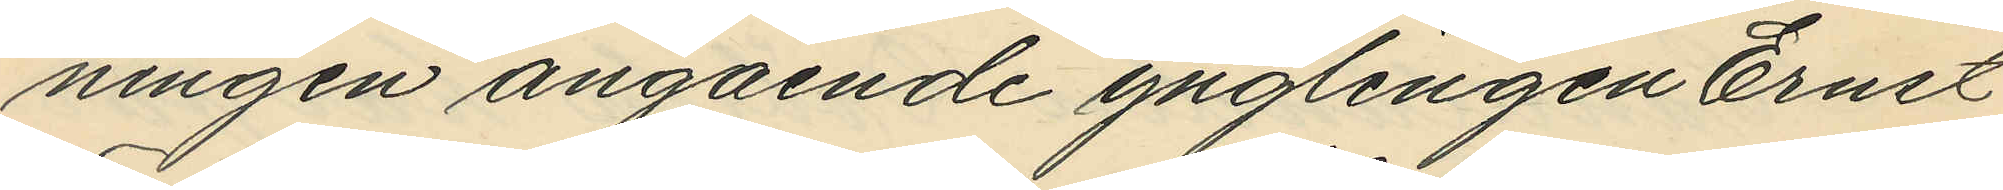ningen angående ynglingen Ernst
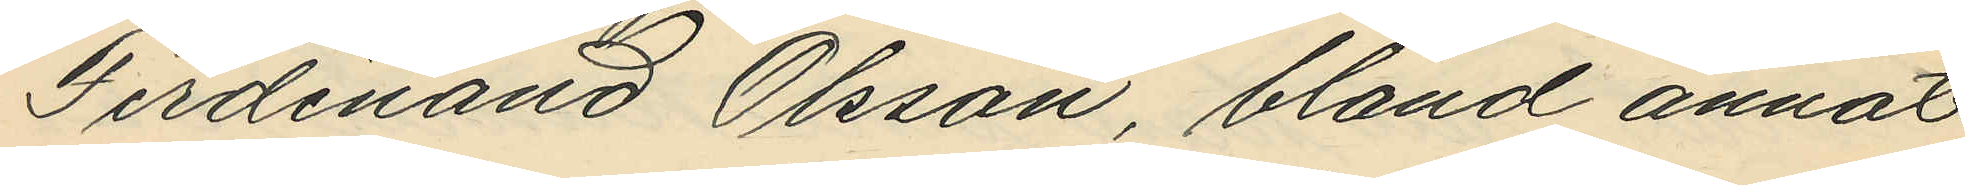Ferdinand Olsson, bland annat
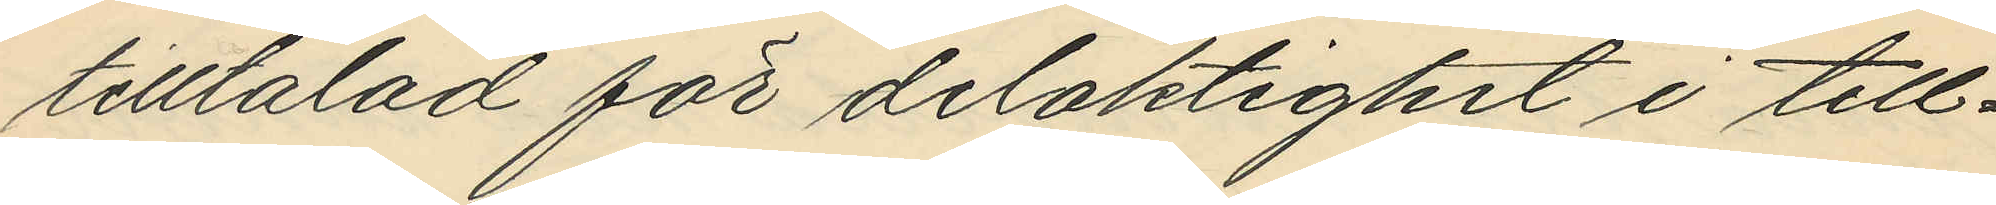tilltalad för delaktighet i till¬
